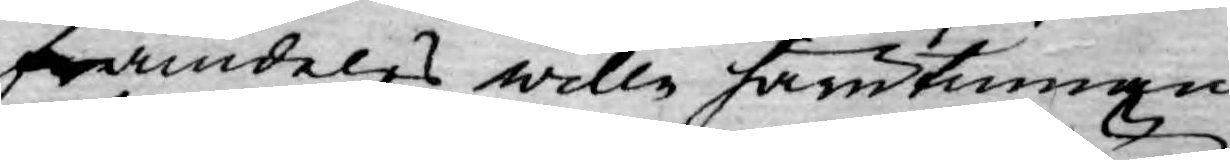framdeles wille härutinnan
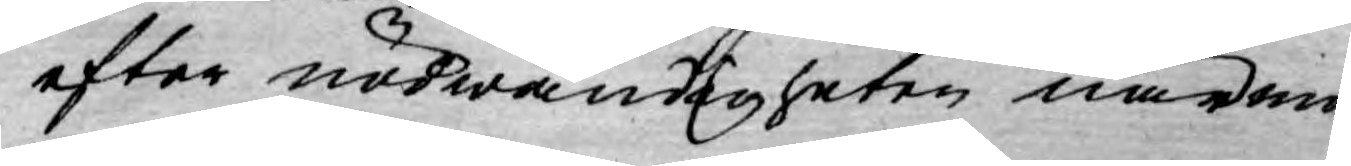efter nödwändigheten närma¬
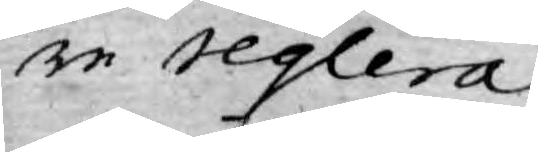re reglera.
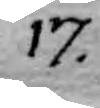17.
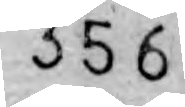356
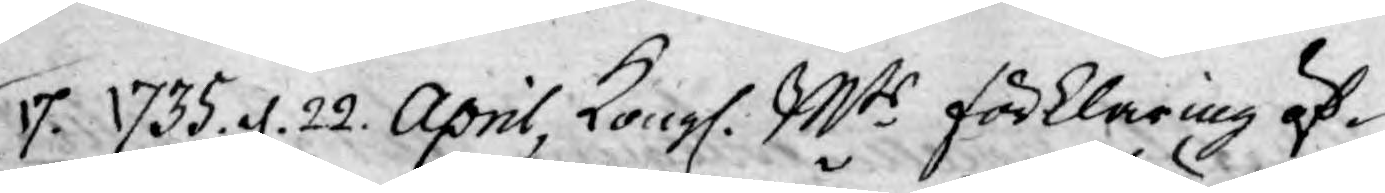17. 1735. d. 22. April, Kongl. Mts förklaring öf¬
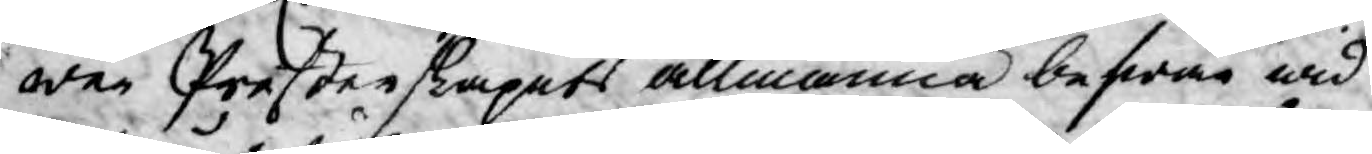wer Presterskapets allmänna befwär wid
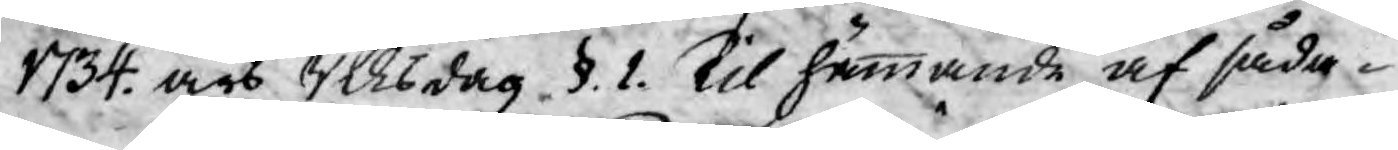1734. års Riksdag §. 1. til hämmande af såda¬
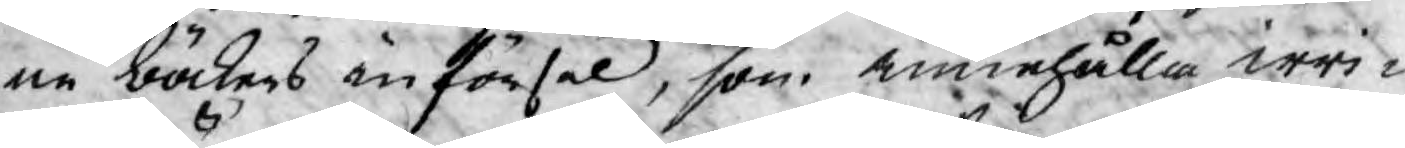ne böckers införsel, som innehålla irri¬
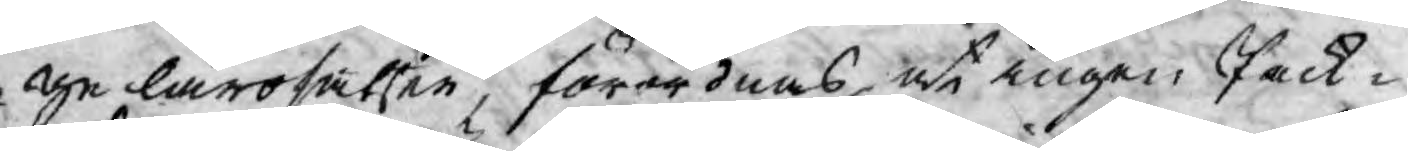ge lärosatser, förordnas, at ingen Pack¬
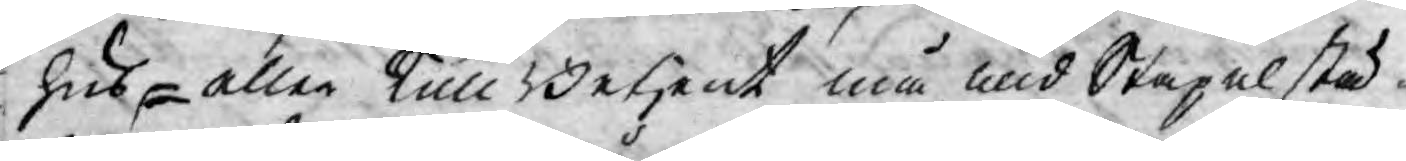hus- eller Tulll Betjent må wid Stapelstä¬
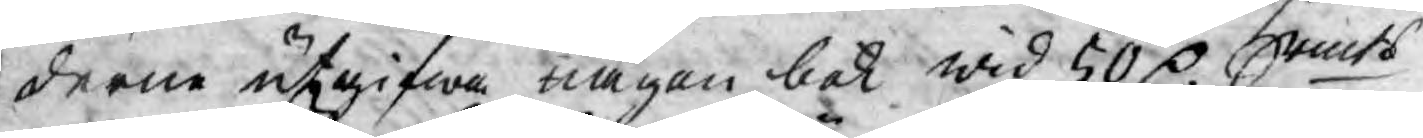derne utgifwa någon bok wid 50 D. Srmts
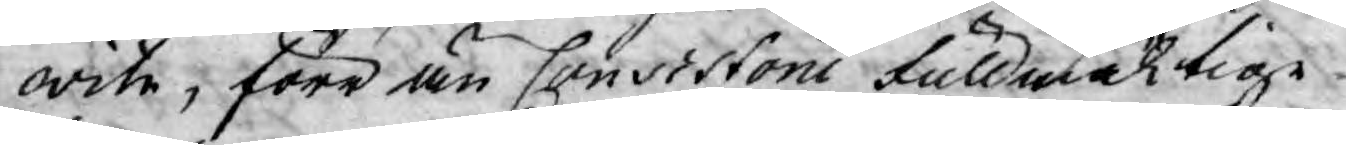wite, förr än Consistorii fullmäktige
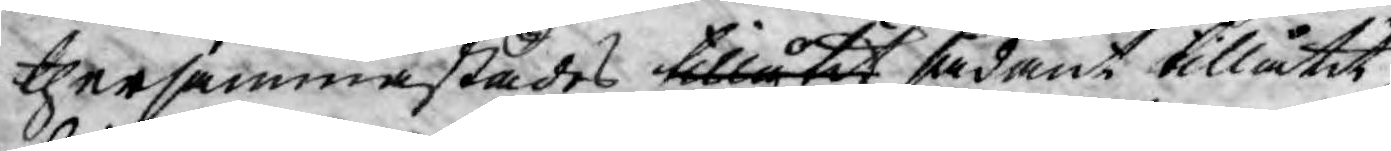ther sammastädes tillåtit sådant tillåtit
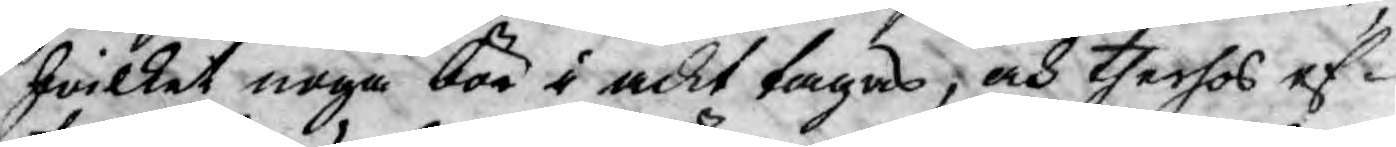hwilket noga bör i ackt tagas, och therhos ef¬
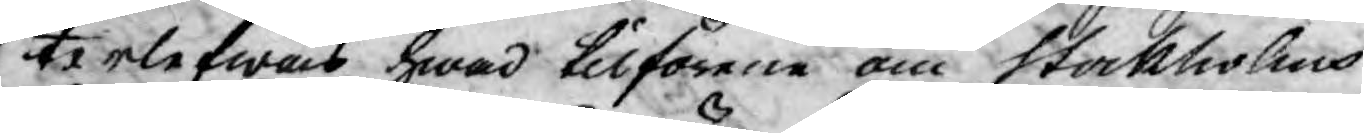terlefwas hwad tilförene om Stockholms
